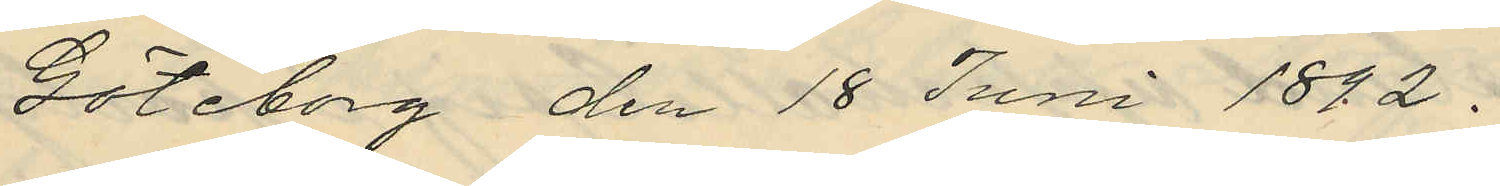Göteborg den 18 Juni 1882.
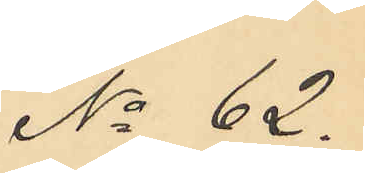No 62.
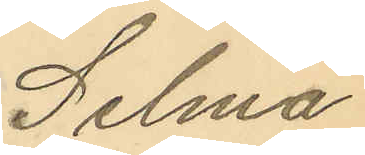Selma
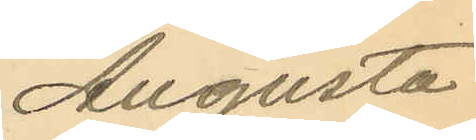Augusta
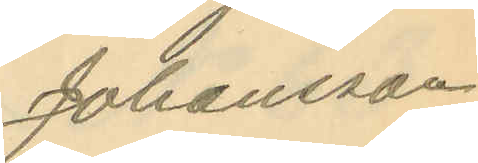Johansson.
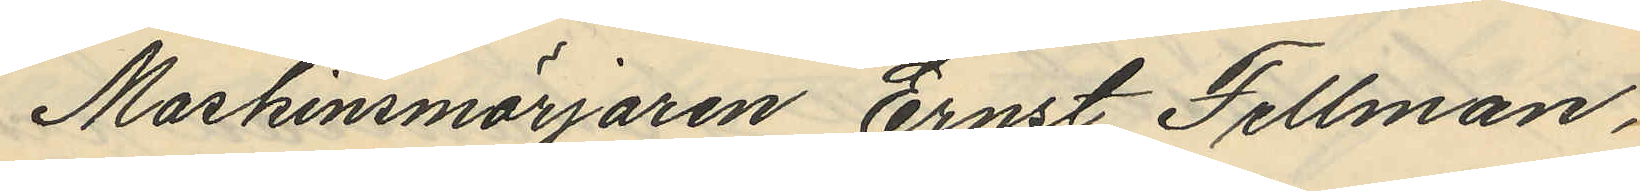Maskinsmörjaren Ernst Fellman,
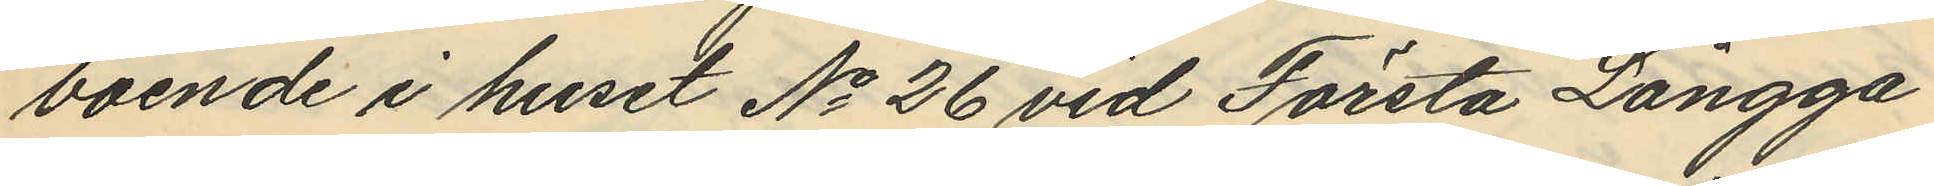boende i huset No 26 vid Första Långga¬
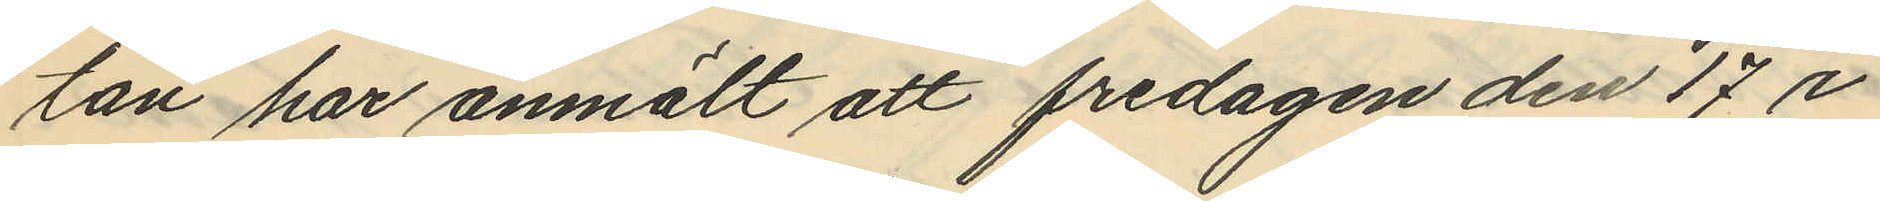tan har anmält att fredagen den 17 i
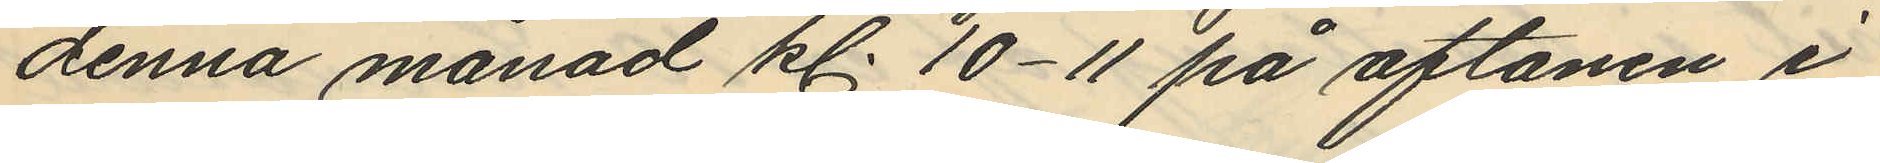denna månad kl. 10-11 på aftonen i
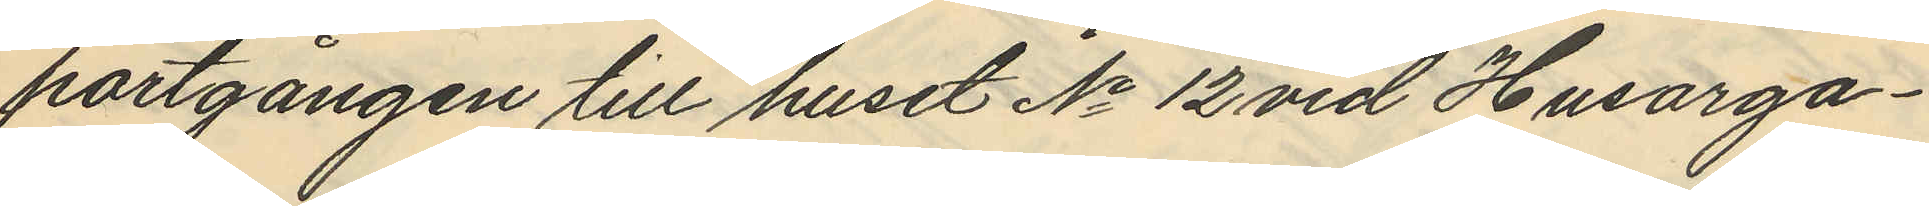portgången till huset No 12 vid Husarga¬
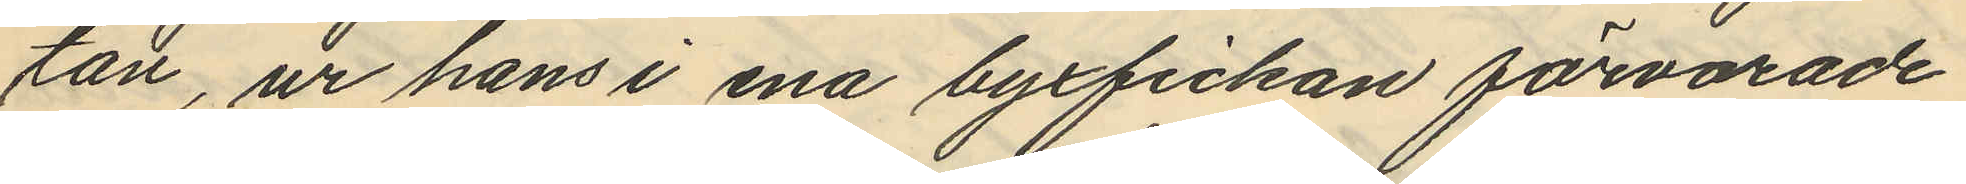tan, ur hans i ena byxfickan förvarade
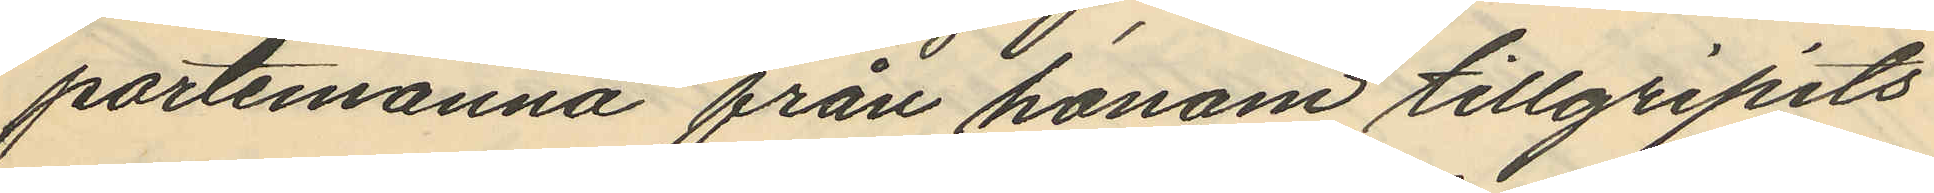portemonnä från honom tillgripits
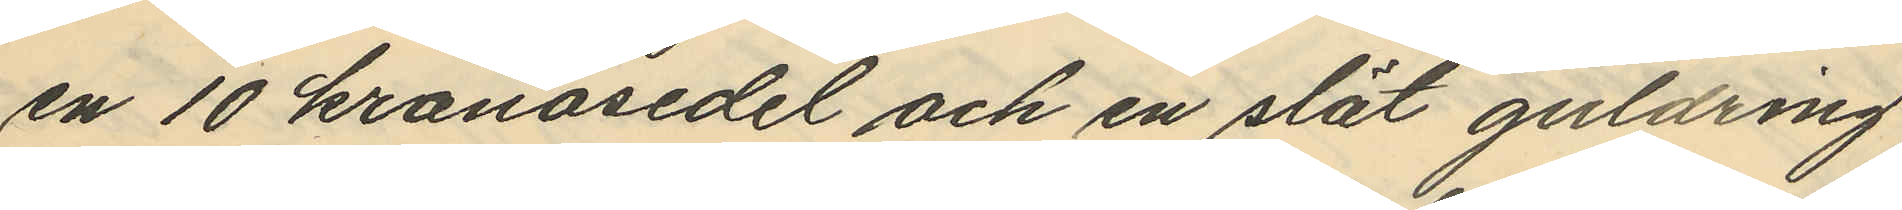en 10 kronosedel och en slät guldring
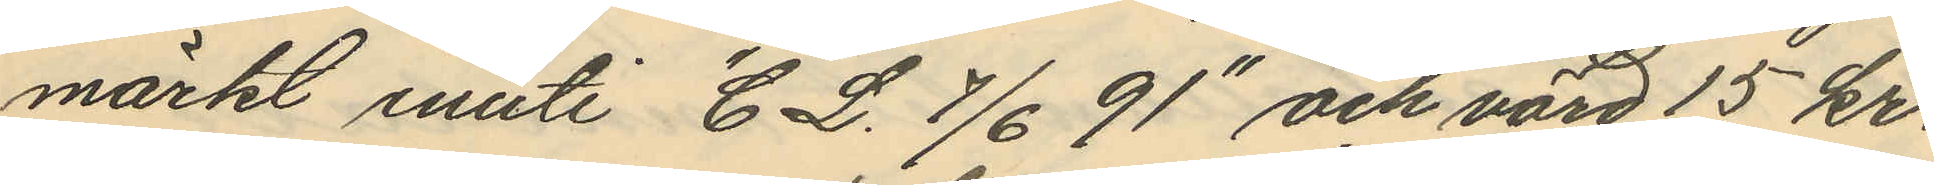märkt inuti "C L. 7/6 91" och värd 15 kr.
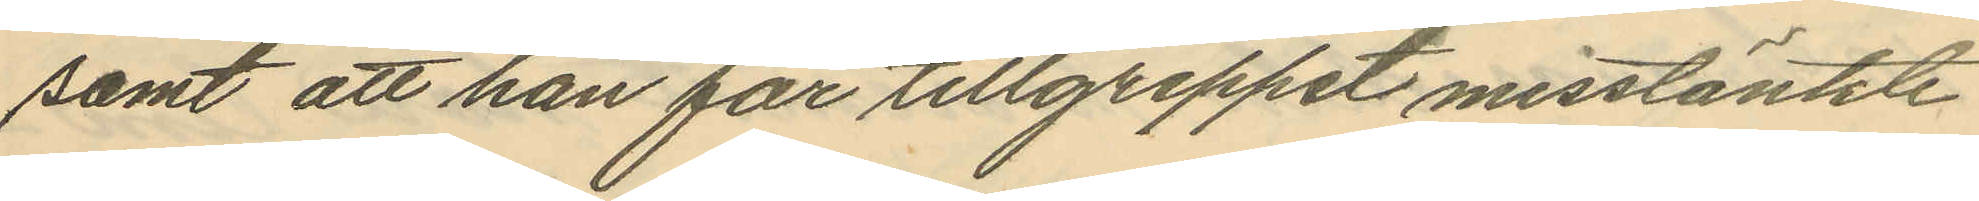samt att han för tillgreppet misstänkte
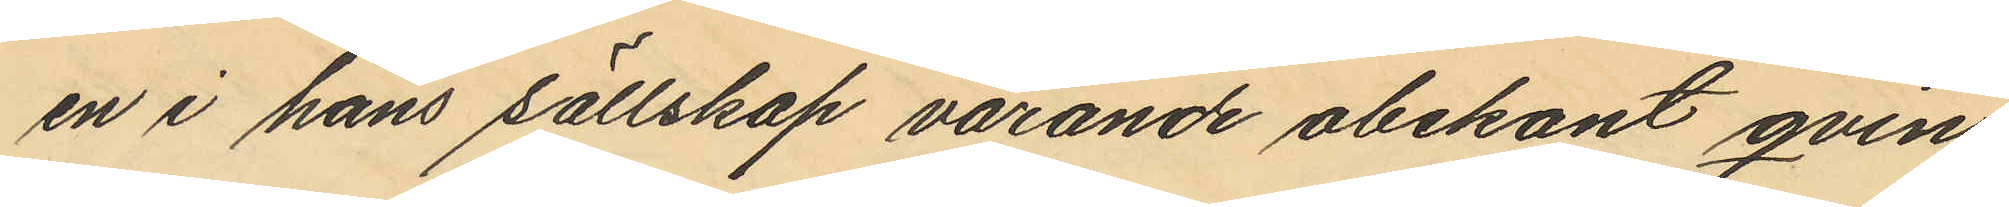en i hans sällskap varande obekant qvin¬
